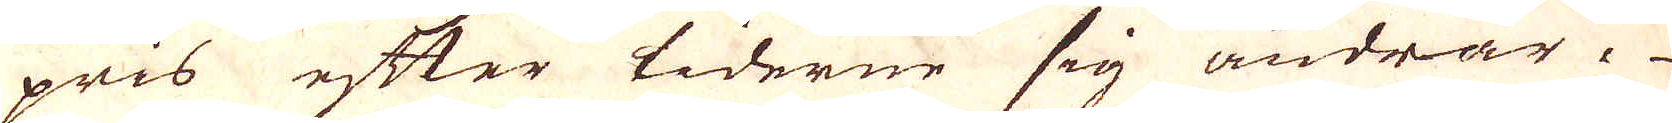pris efter tiderne sig ändrar.
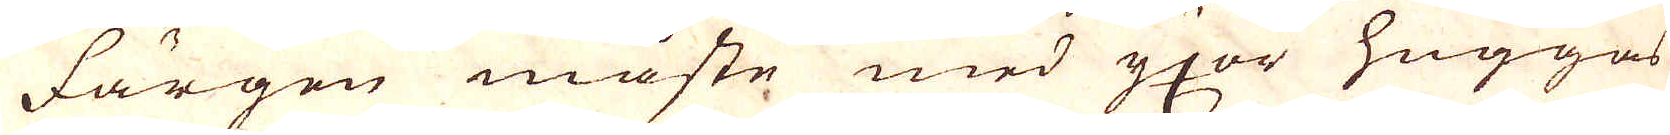Färgen måste med yxor huggas
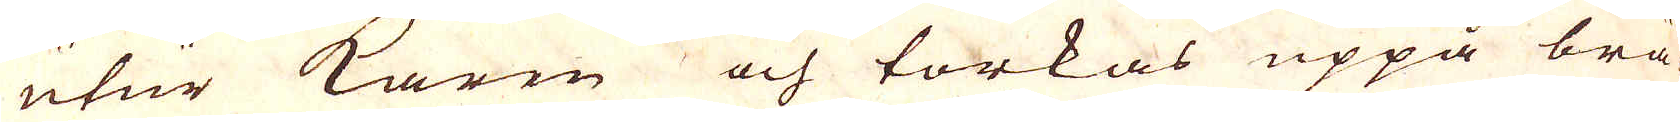utur karen och torkas uppå brä-
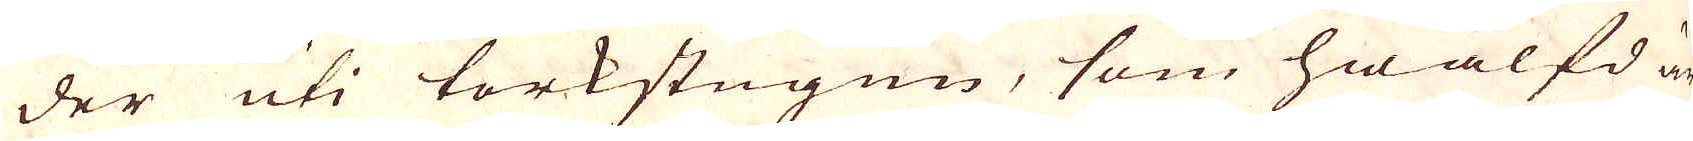der uti torkstugun, som hwälfd är
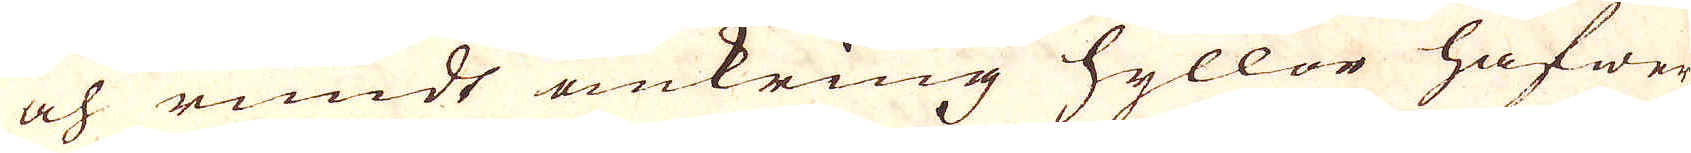och rundt omkring hyllor hafwer
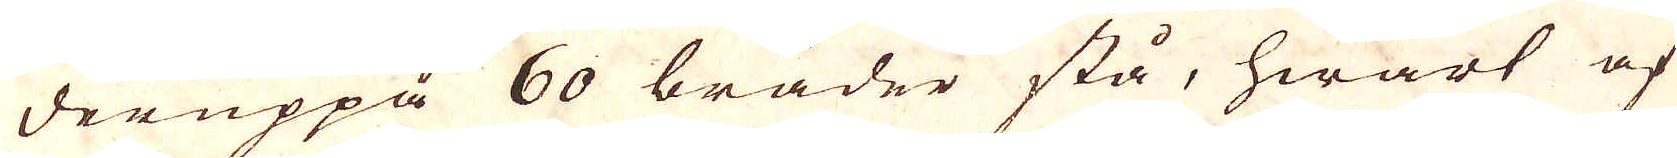deruppå 60 bräder stå, hwart af
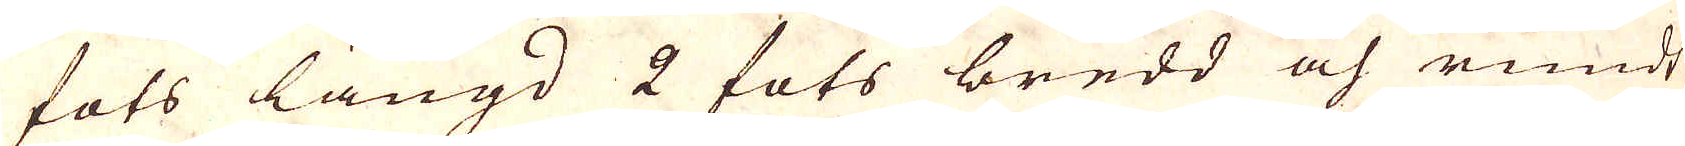fots längd 2 fots bredd och rundt
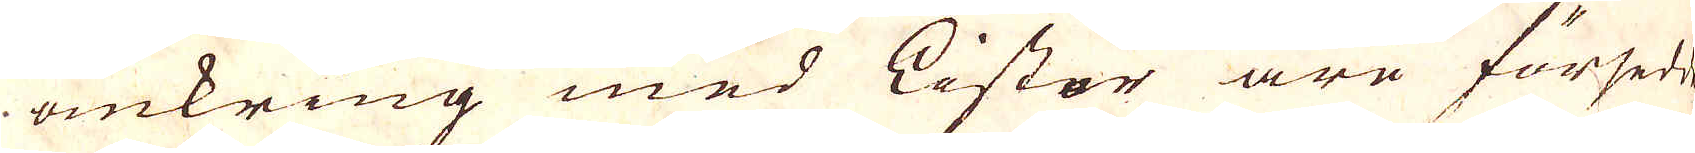omkring med Listor äre försedde.
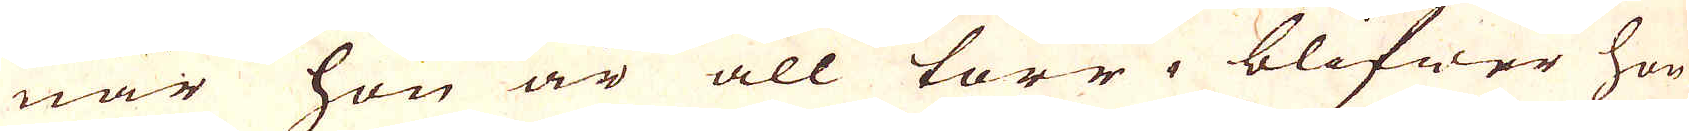när hon är all torr, blifwer hon
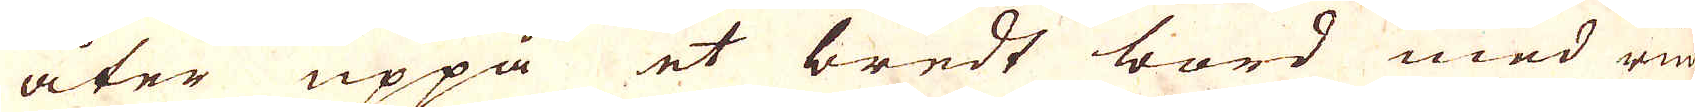åter uppå et bredt bord med run-
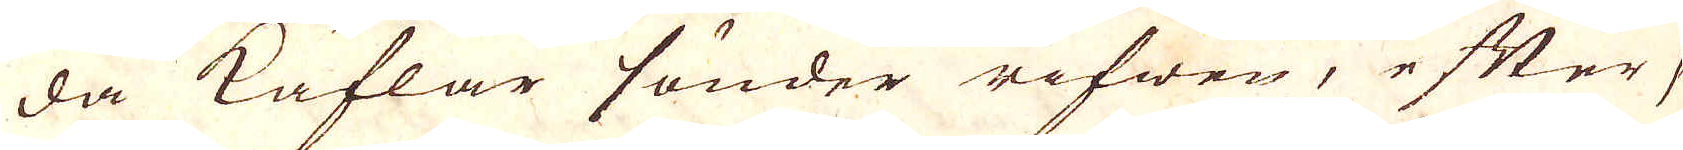da Kaflar sönder rifwen, efter se-
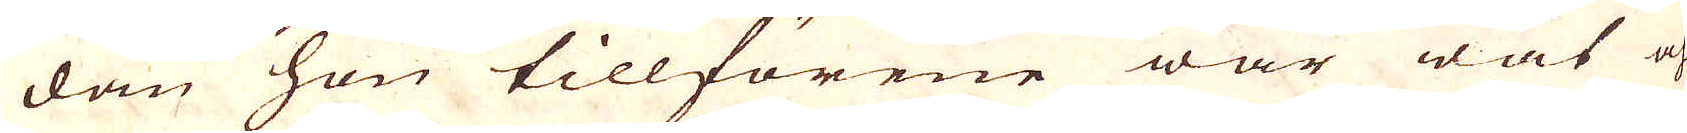dan hon tillförene war wåt och
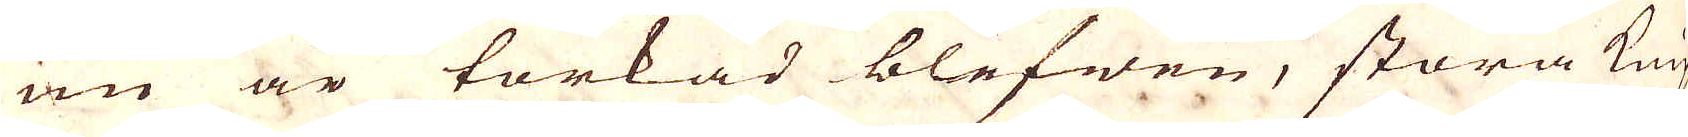nu är torkad blefwen, stora knip-
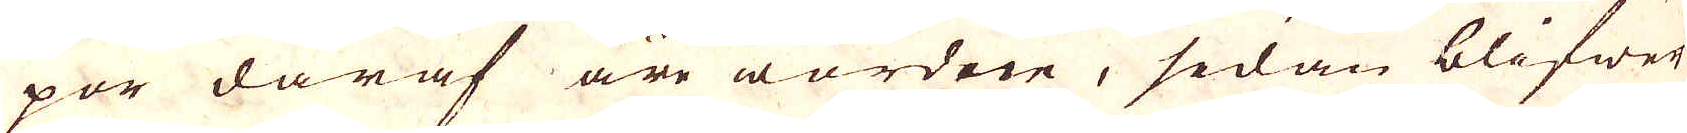por däraf äre wordne, sedan blifwer
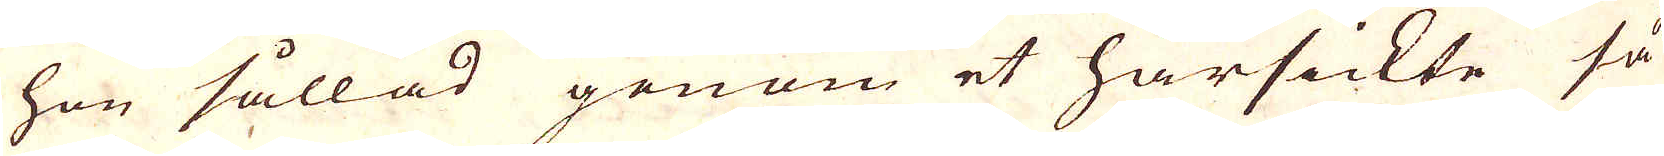hon sållad genom et hårsickte så
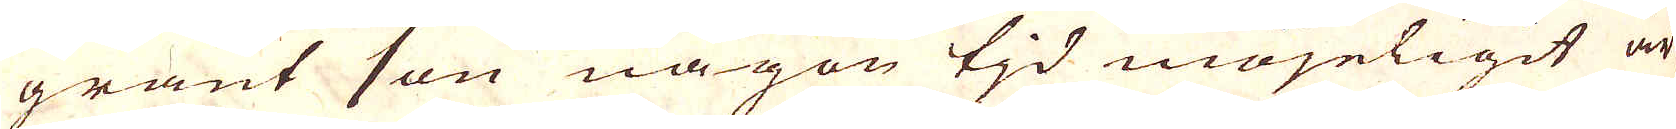grant hon någon tjd mögeligit är
